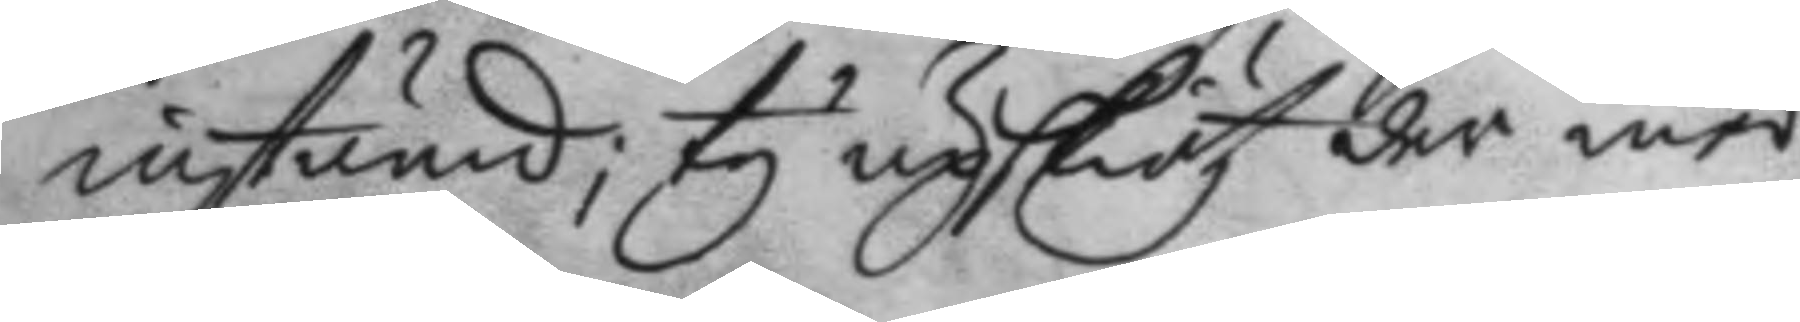instämd; ty upskiötz der med
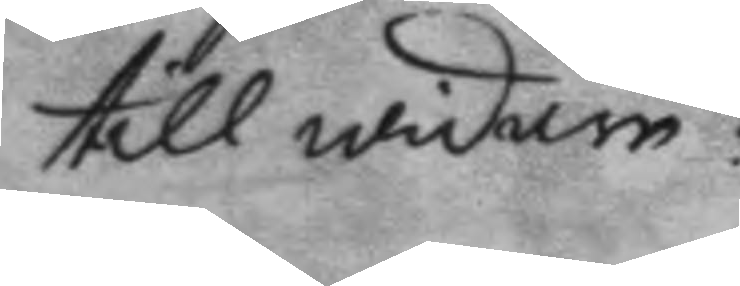till widare:
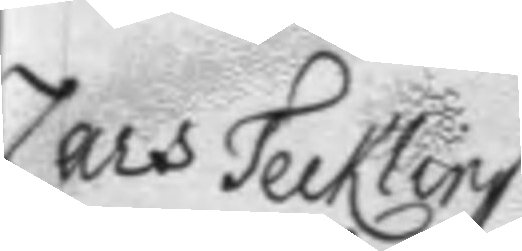Lars Tecklin
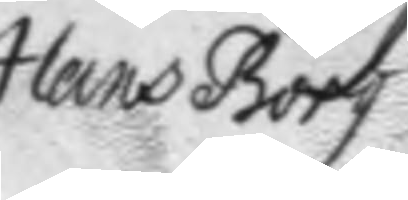Hans Borg
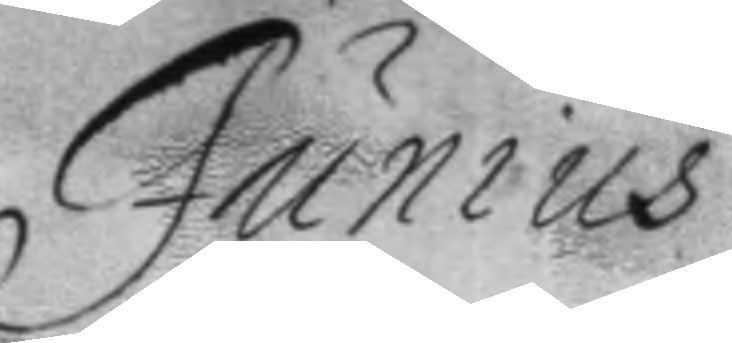Junius
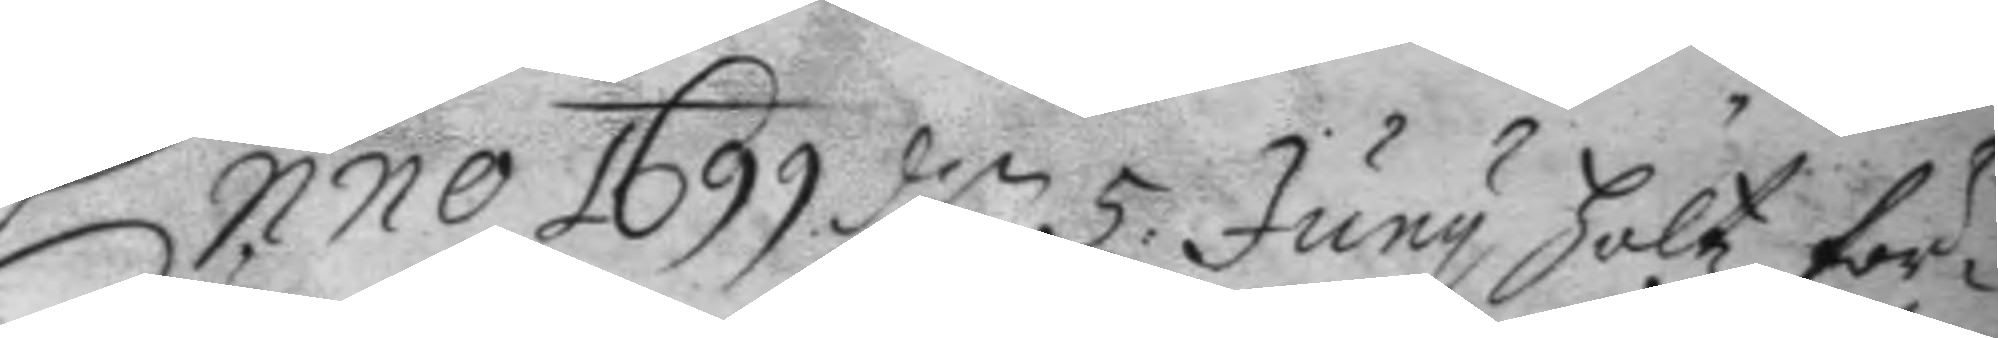Anno 1699 d:n 5: Juny höltz för¬
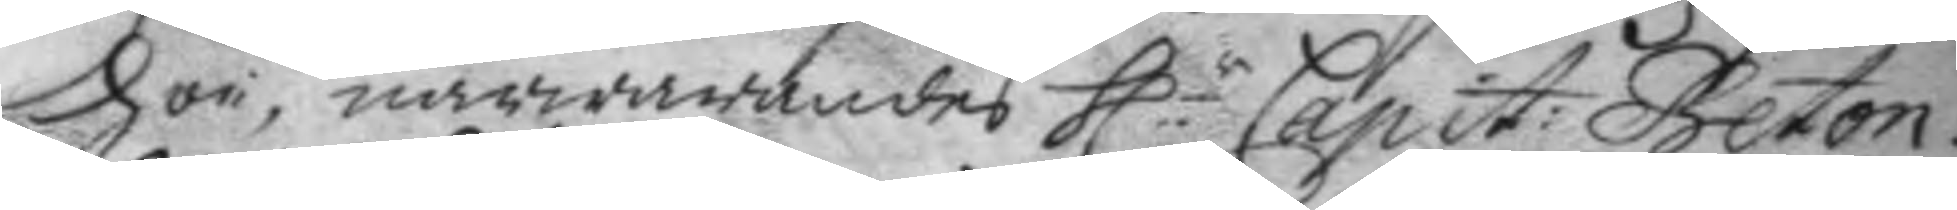hör, närwarandes h.r Capit: Beton,
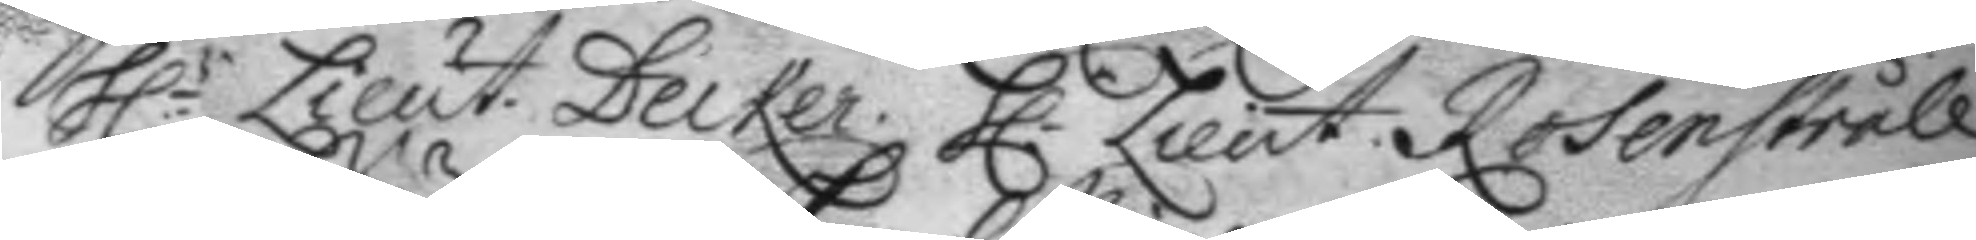h.r Lieut. Decker. h.r Lieut. Rosenstråle.
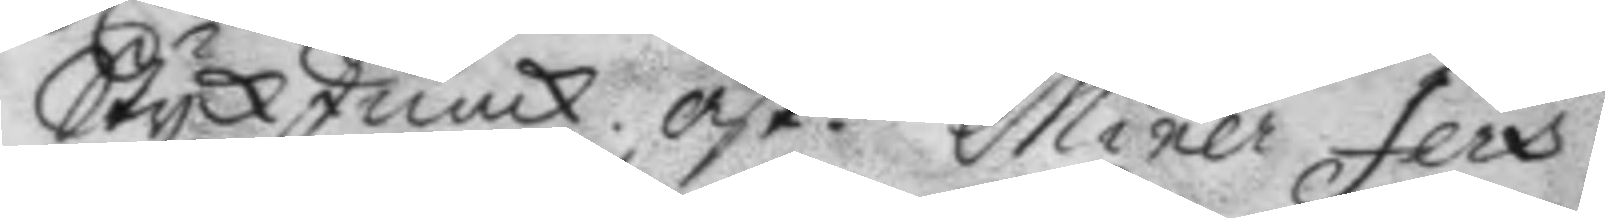StyckJunck. ask. Miner Jers.
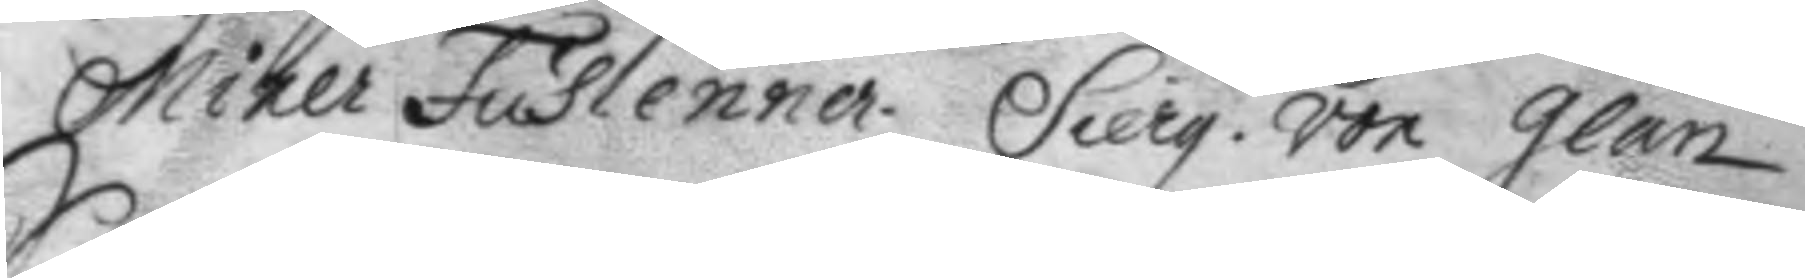Miner Fuslenner, Sierg. von Glan.
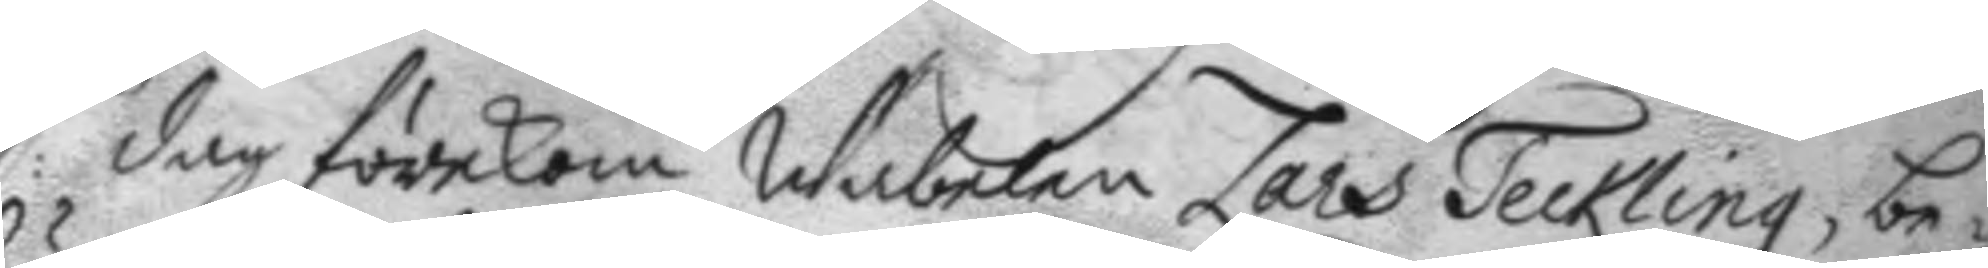S: dag förekom Wäbelen Lars Teckling, be¬
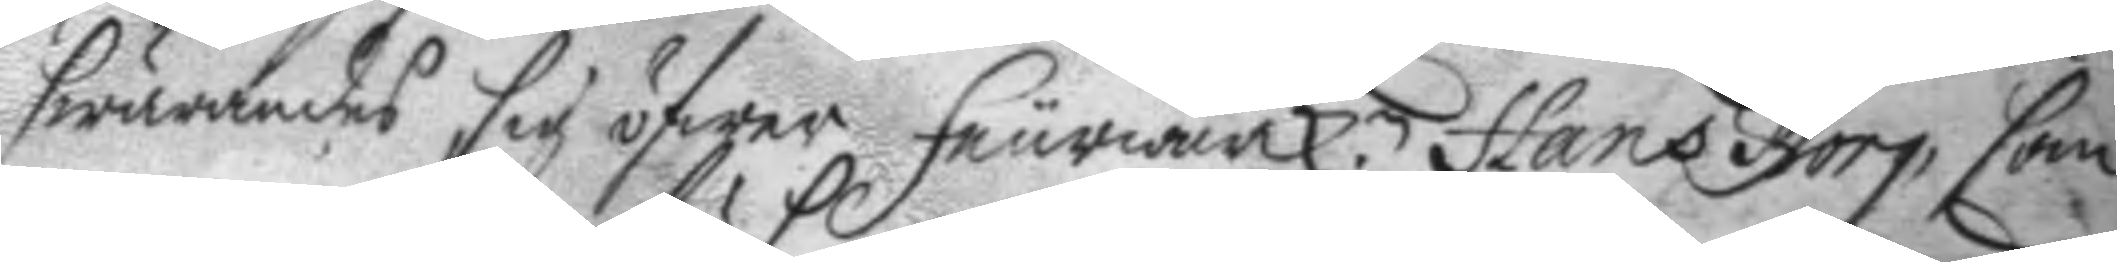swärandes sig öfwer feurwärck.n Hans Borg, som
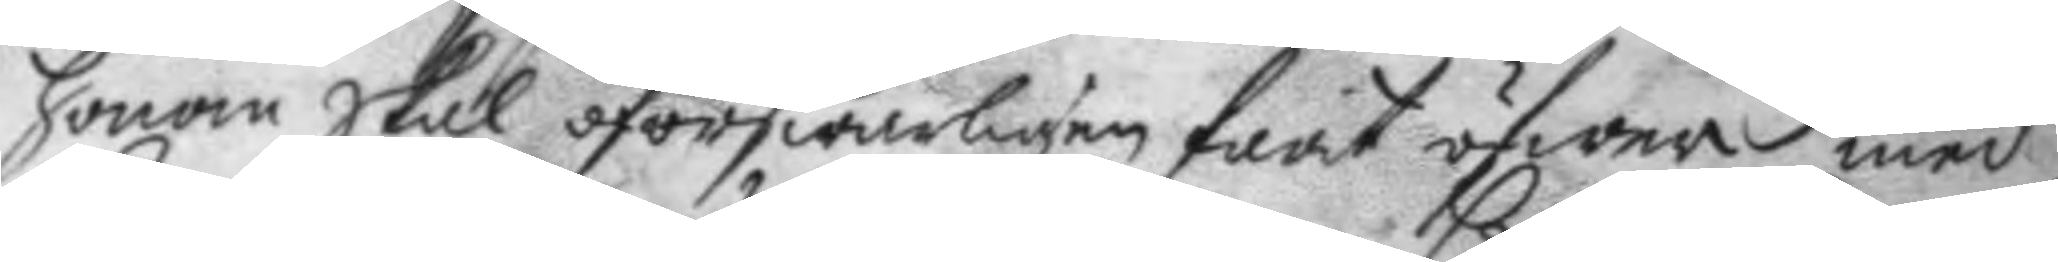honom skal oförswarligen farit öfwer med
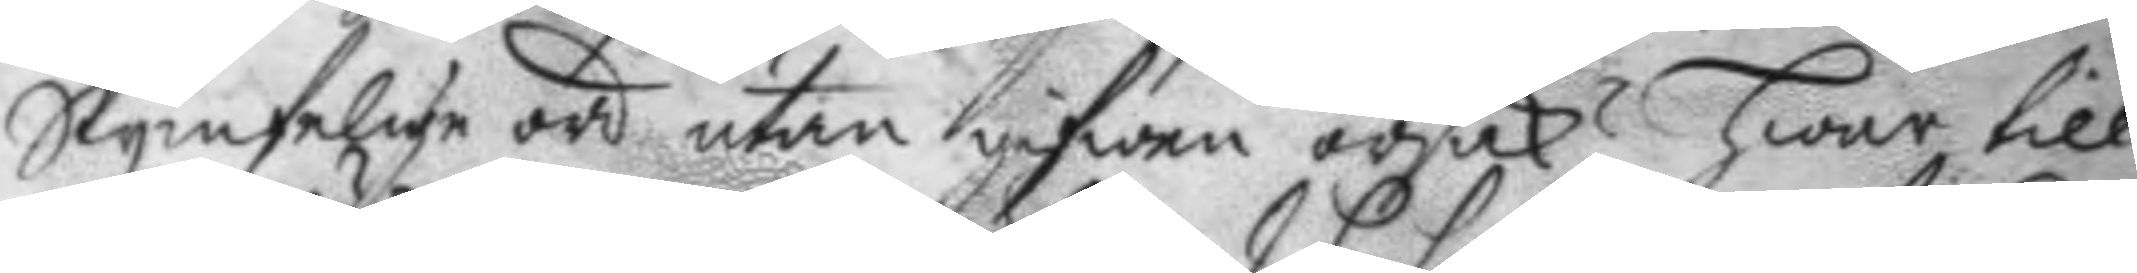Skymfelige ord utan gifwen orsak? hwar till
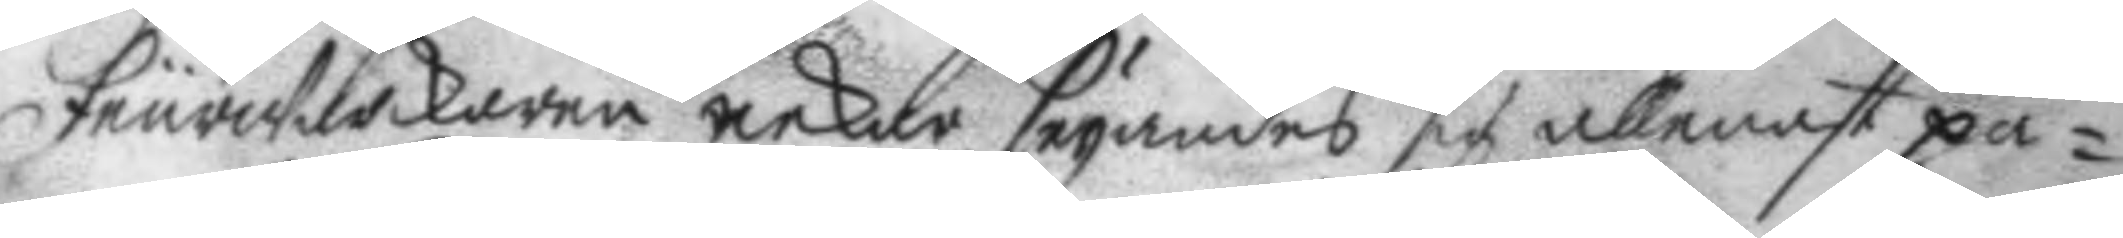feurwärckaren nekar seyandes sig allenast på¬
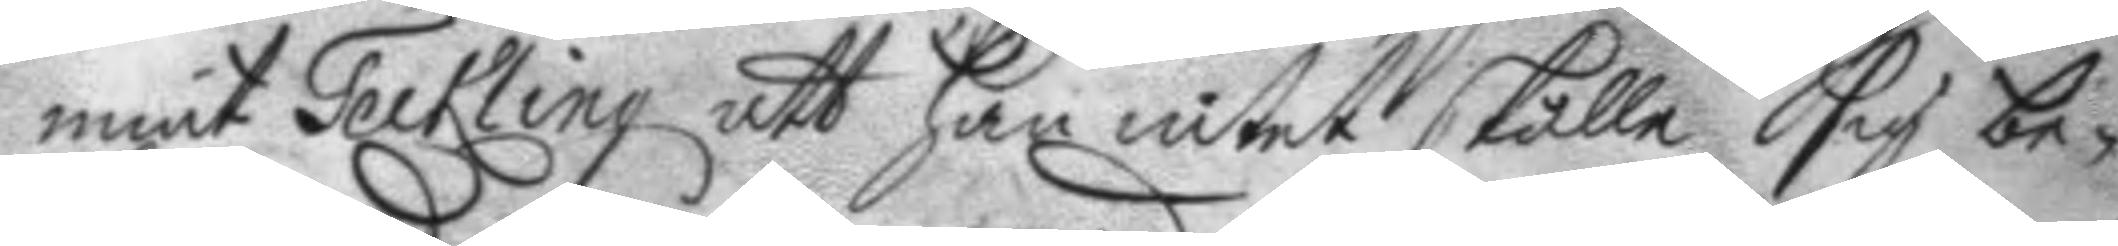mint Teckling att han intet skulle sig be¬
